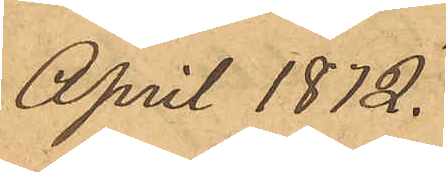April 1872.
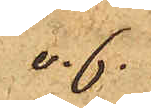v.f.
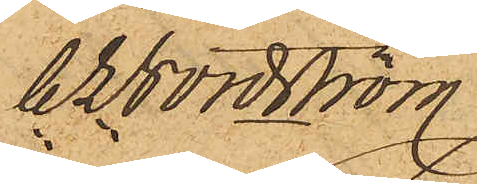C L Nordström
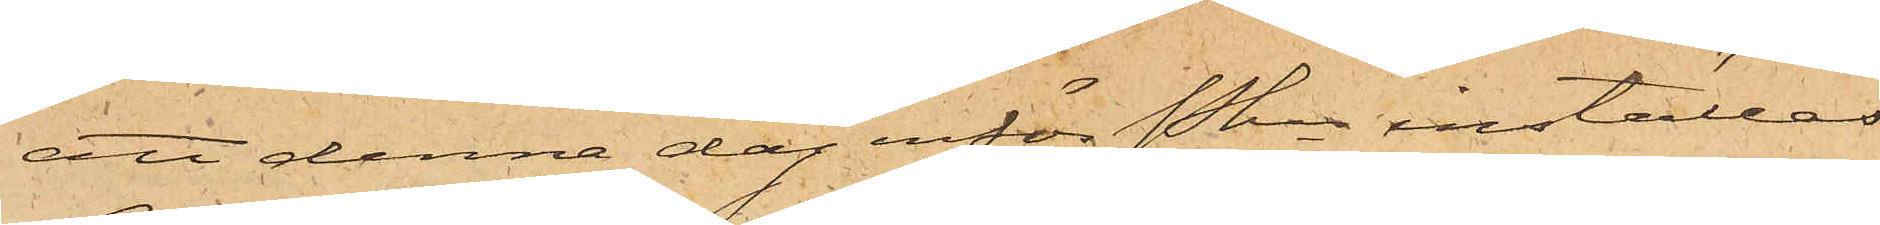att denna dag inför Pkn inställas.
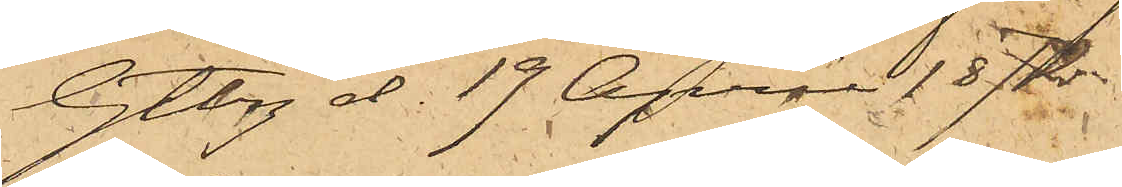Gtbrg d. 19 April 1872.
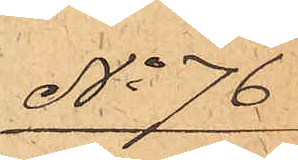No 76
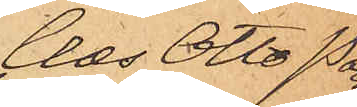Clæs Otto Pon¬
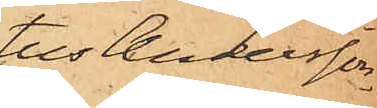tus Andersson.
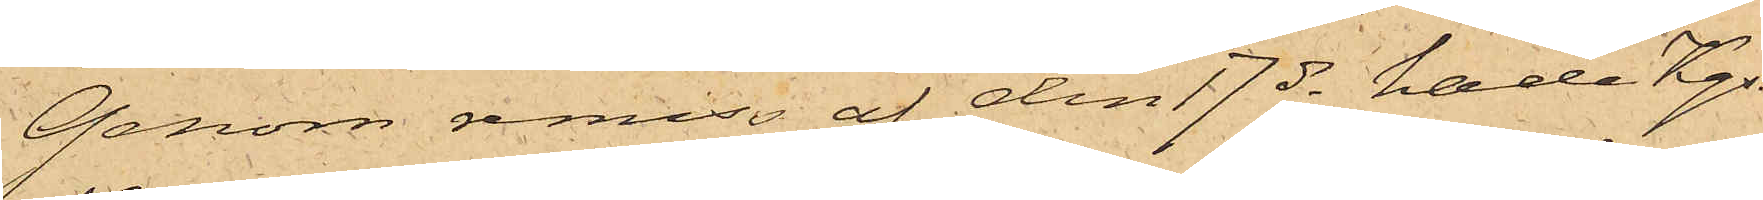Genom remiss af den 17 ds hade Kgs.
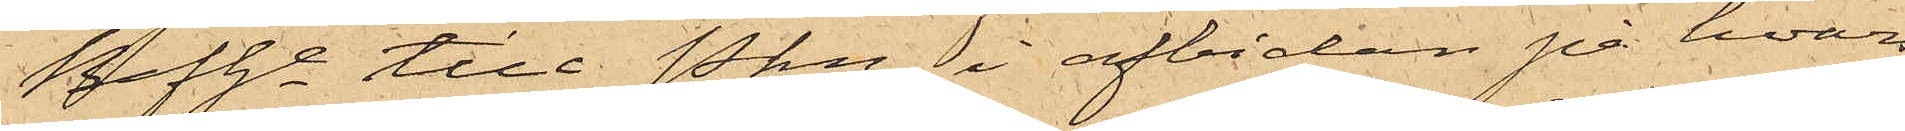Befhe till Pkn, i afbidan på hvars
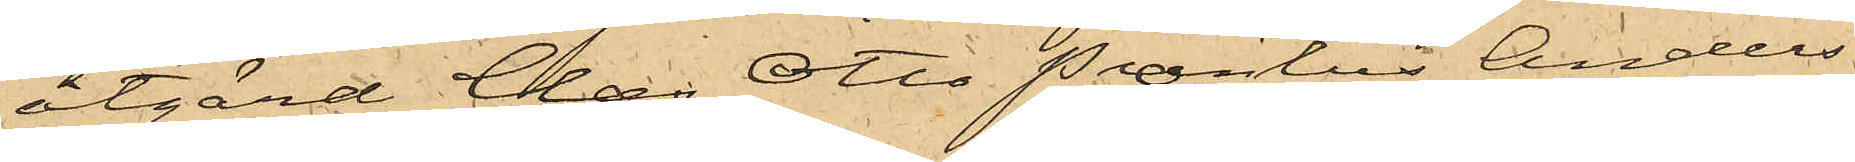åtgärd Clæs Otto Pontus Anders¬
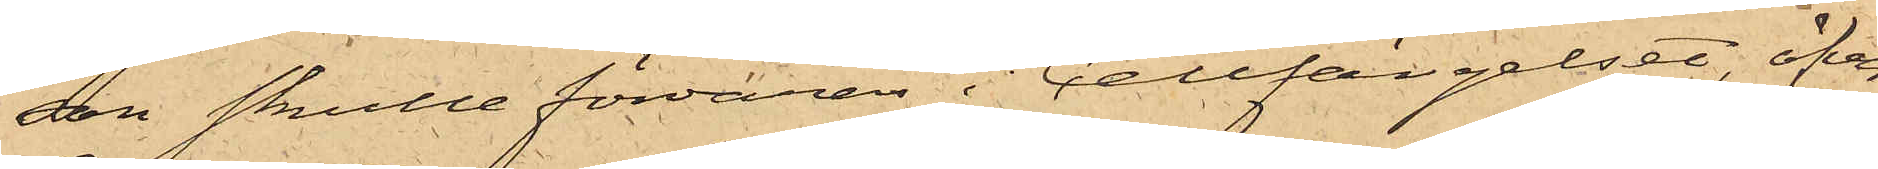son skulle förvaras i Cellfängelset, öfver¬
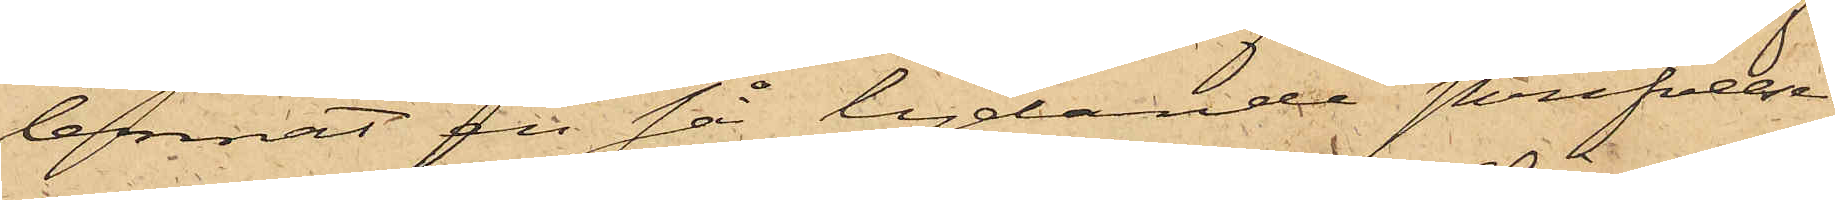lemnat en så lydande skrifvelse
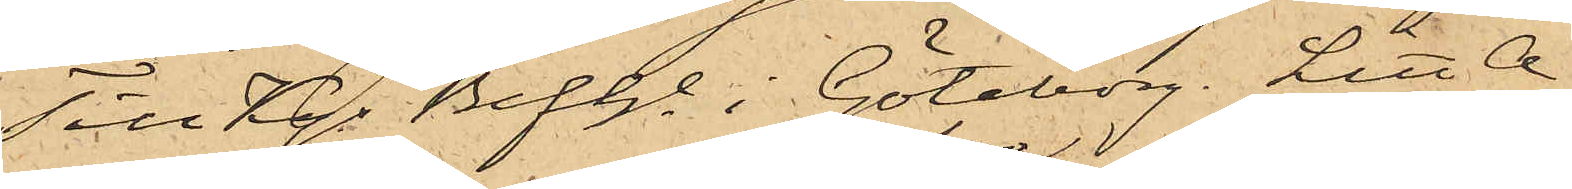"Till Kgs Befhe i Göteborg Litt A
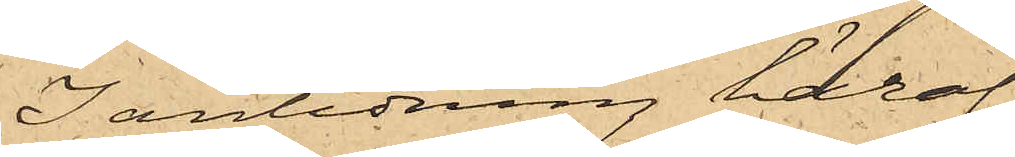I anledning häraf
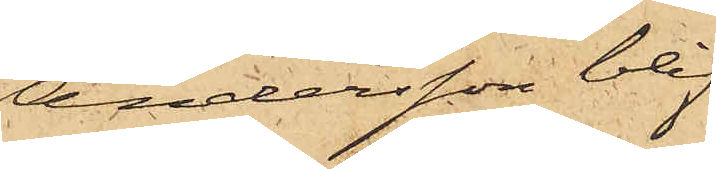Andersson blif¬
